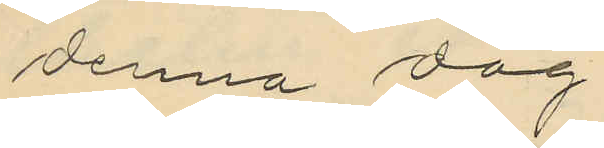denna dag.
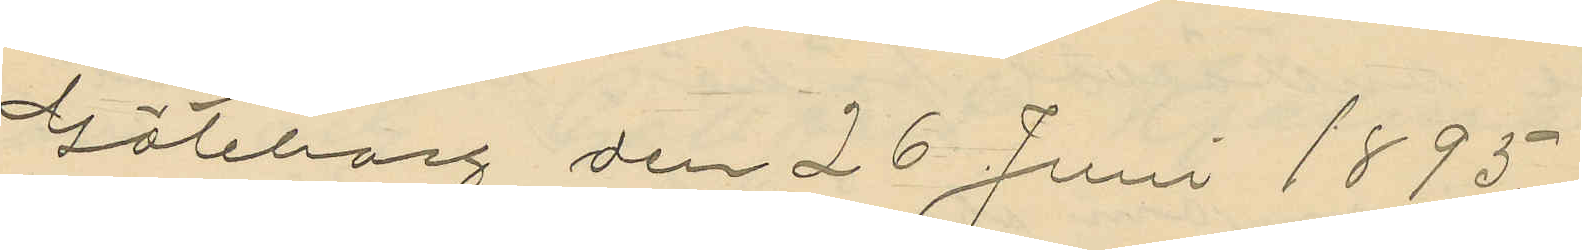Göteborg den 26 Juni 1895.
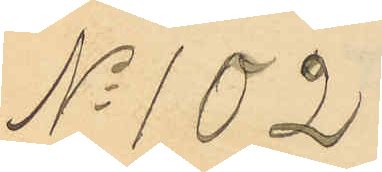No 102
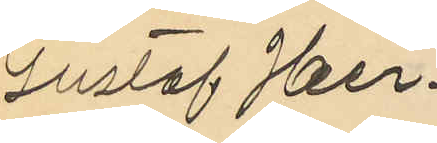Gustaf Her¬
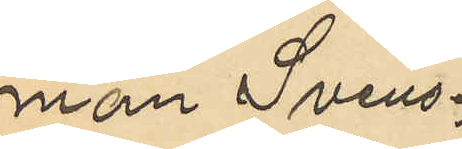man Svens¬
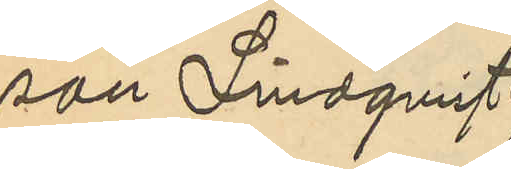son Lindqvist
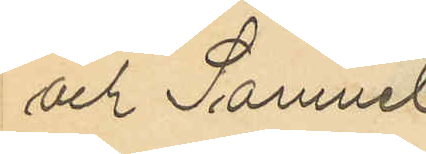och Samuel
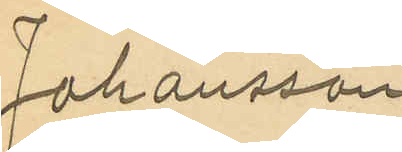Johansson
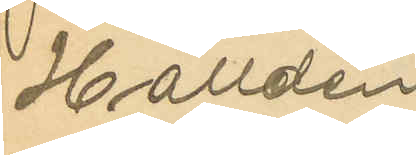Halldén
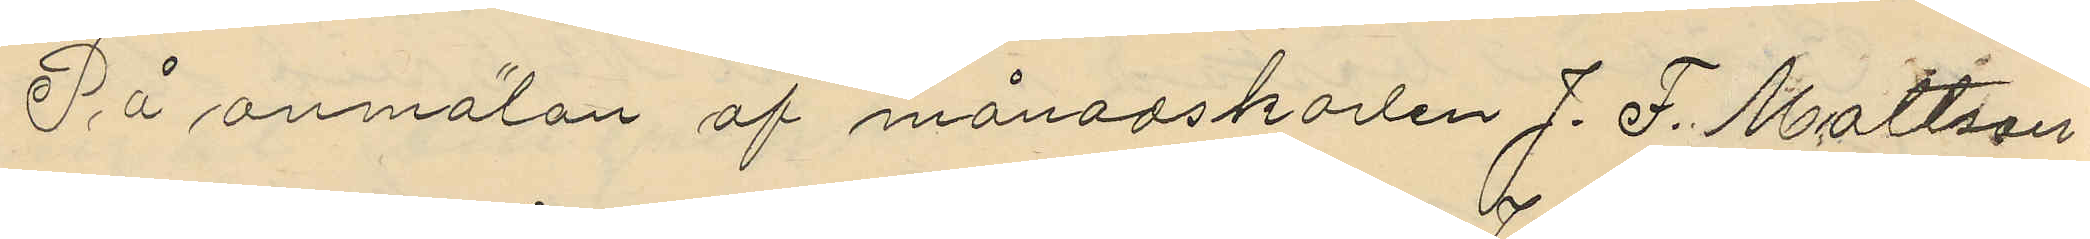På anmälan af månadskarlen J. F. Mattson
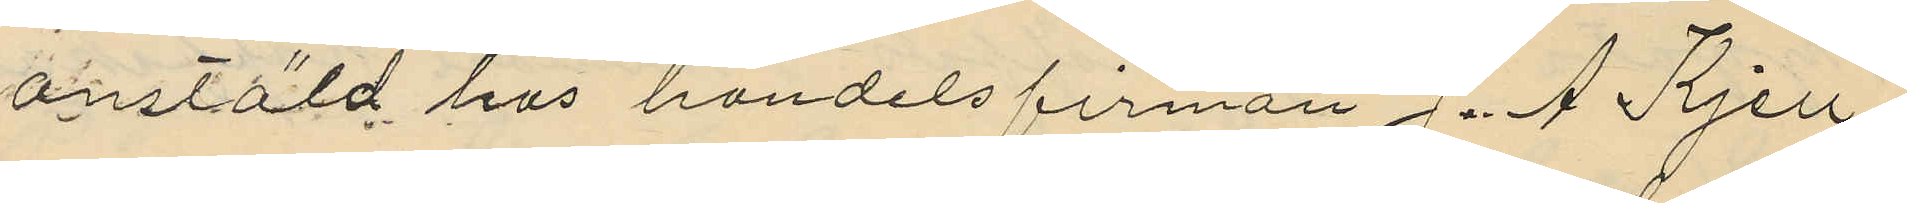anstäld hos handelsfirman J. A. Kjell¬
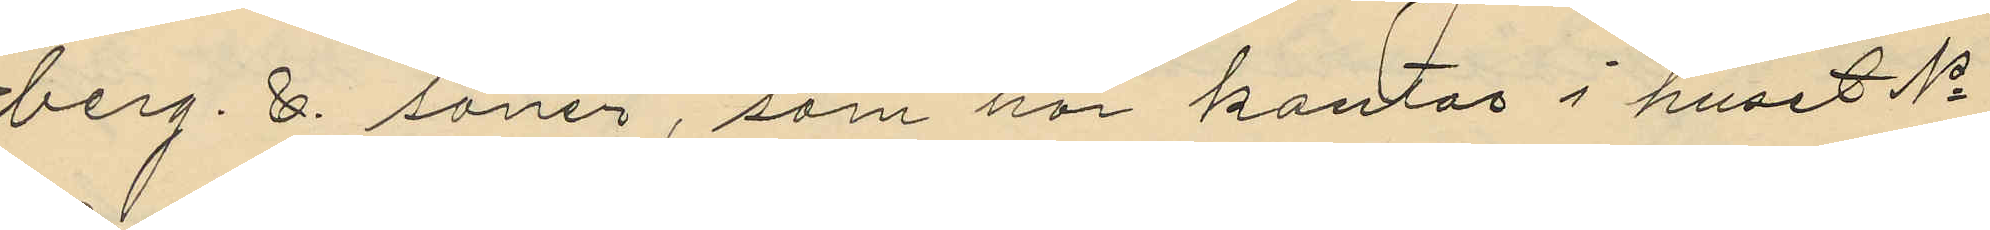berg. &. söner, som har kontor i huset No
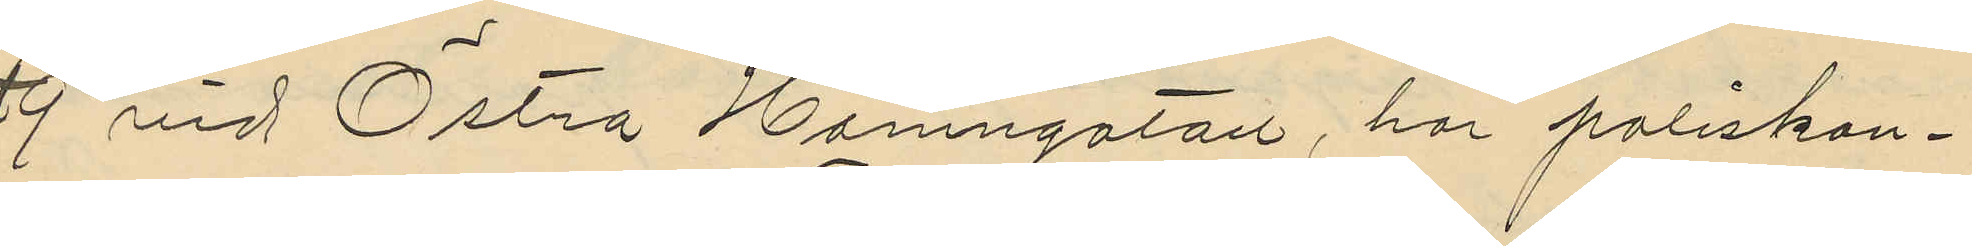9 vid Östra Hamngatan, har poliskon¬
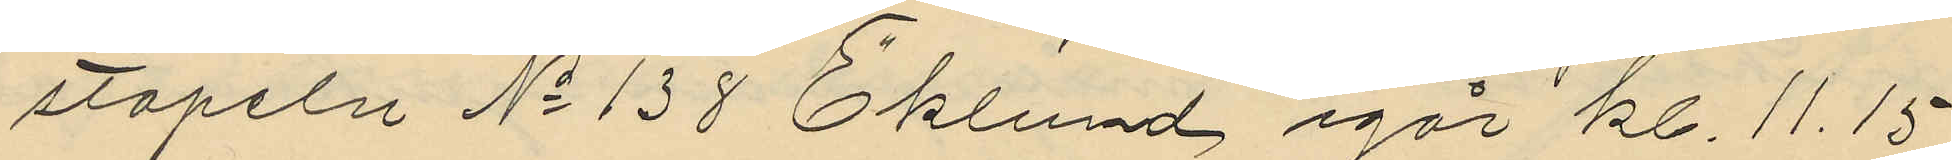stapeln No 138 Eklund igår kl. 11.15
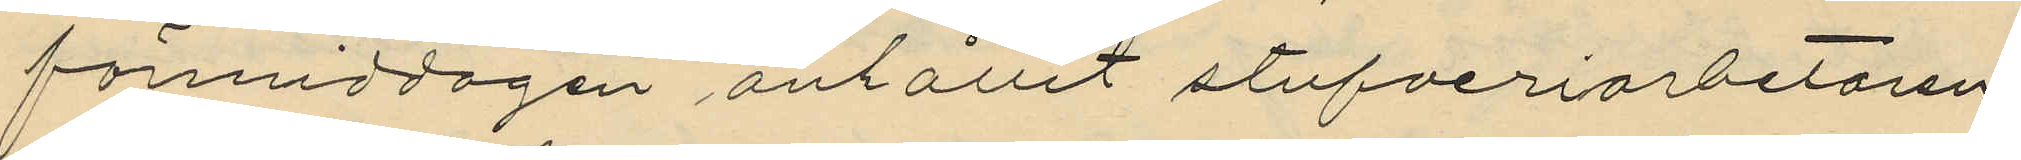förmiddagen anhållit stufveriarbetaren
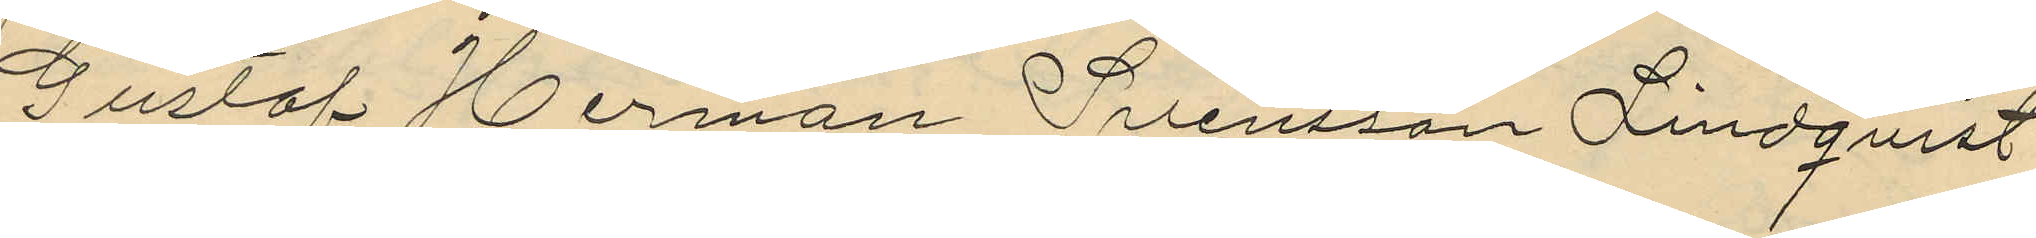Gustaf Herman Svensson Lindqvist
